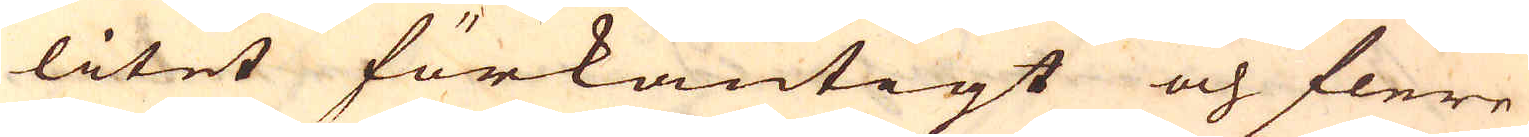litet förkantigt och flere
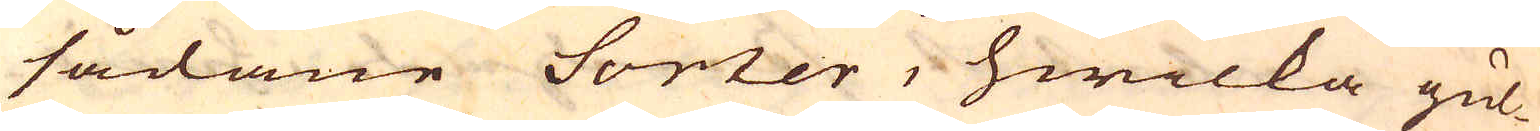sådane Sorter, hwilka gul-
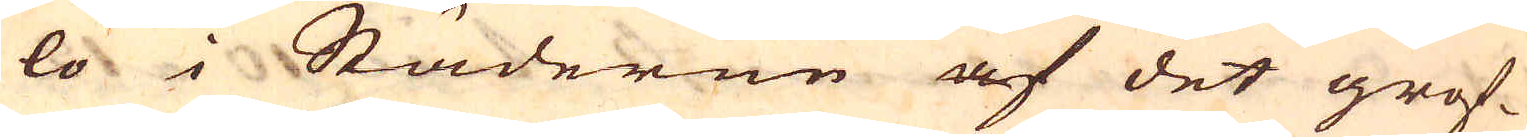lo i Städerne af det grof-
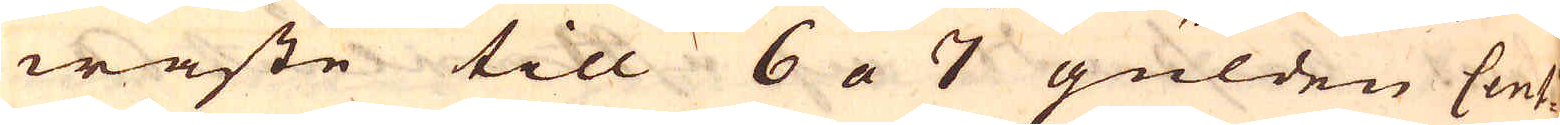waste till 6 a 7 gulden Cent:
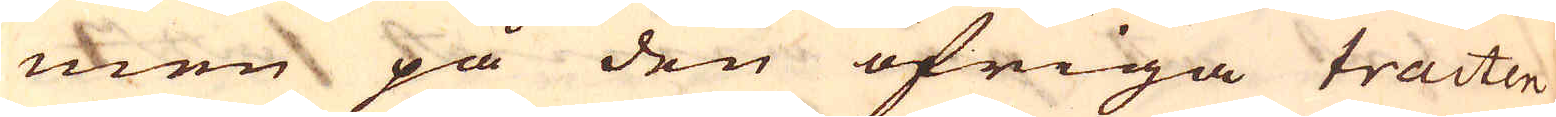men på den öfriga tracten
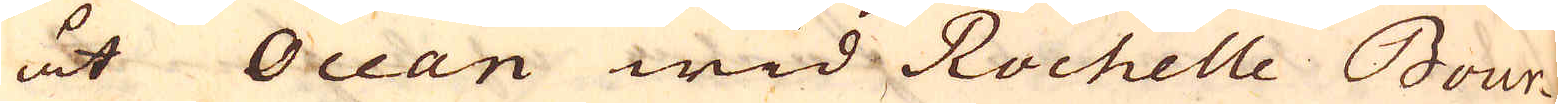åt Ocean wid Rochelle Bour-
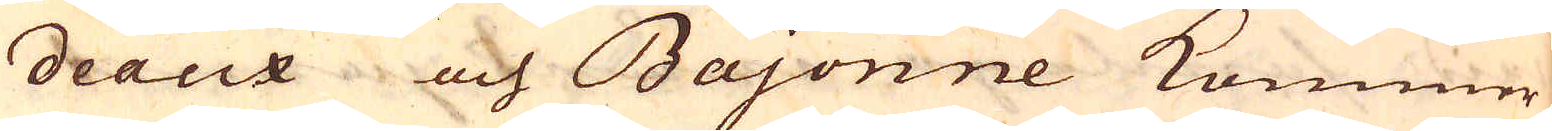deaux och Bajonne kommer
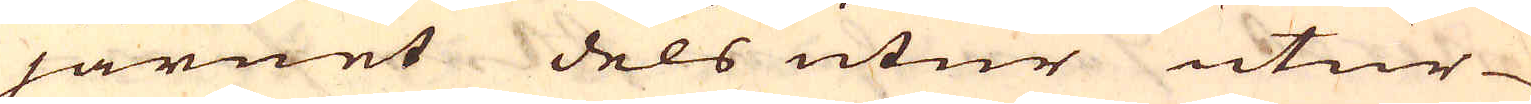järnet dels utur utur
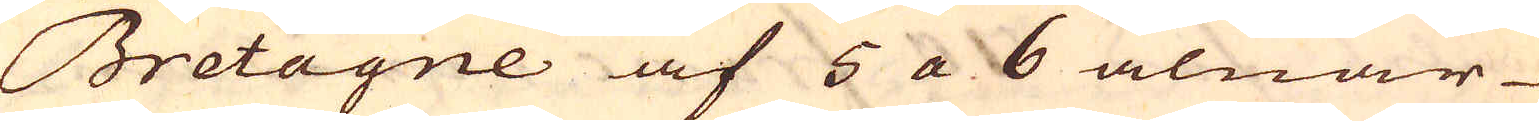Bretagne af 5 a 6 alnar
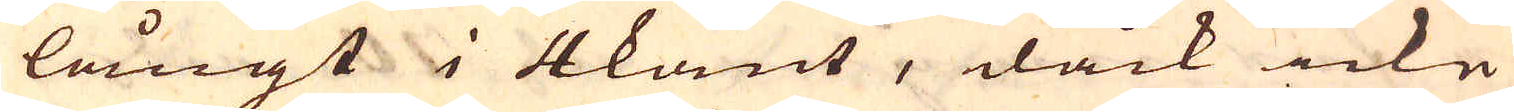långt i 4kant, dåck icke
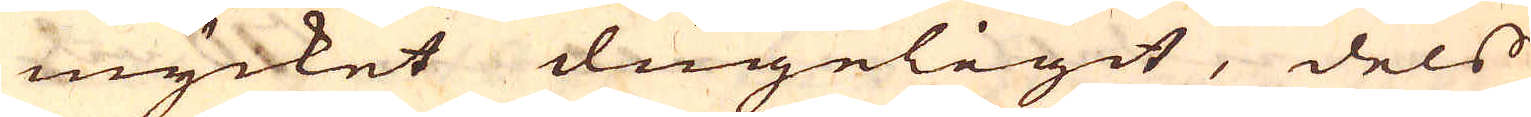mycket dugeligit, dels
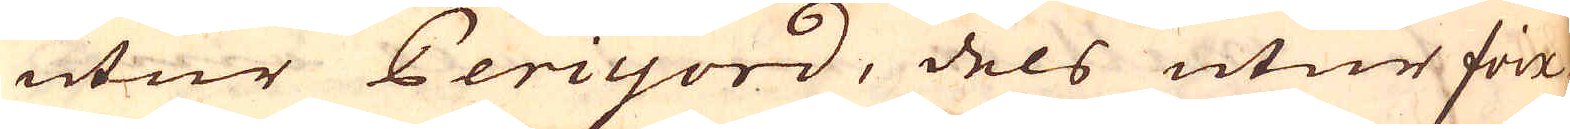utur Periyord, dels utur Foix
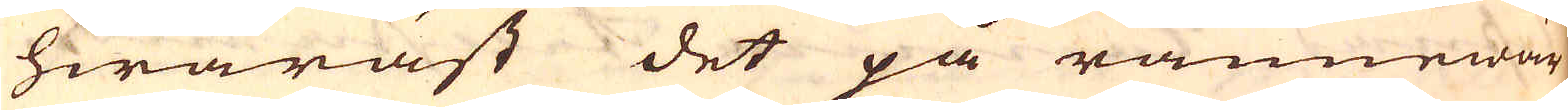hwaräst det på rännewär-
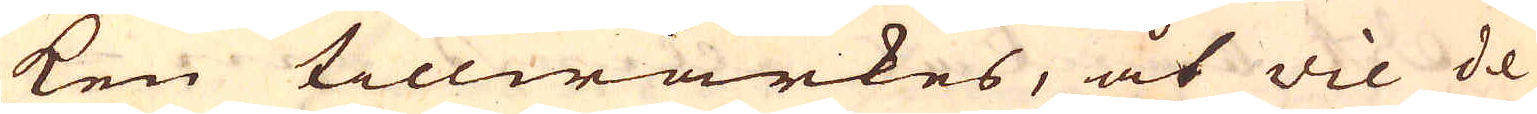ken tillwärkes, åt Vie de
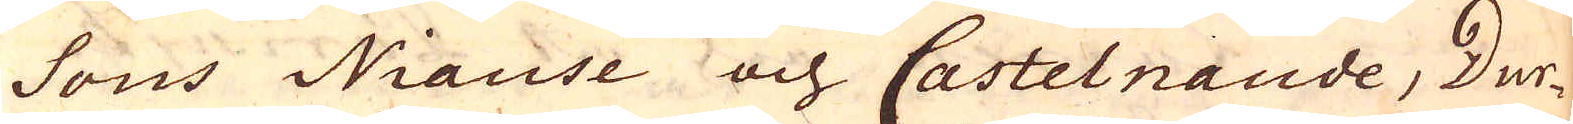Sous Niause och Castelnaude, Dur-
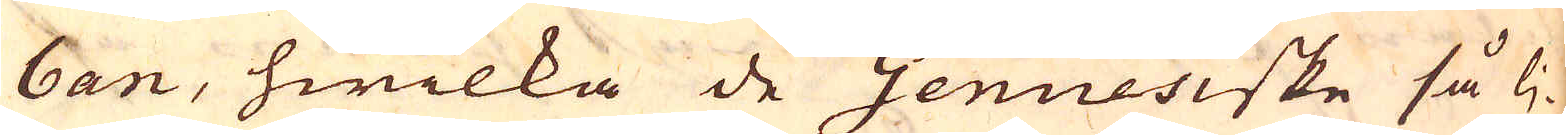ban, hwilka de Genuesiske så lj-
